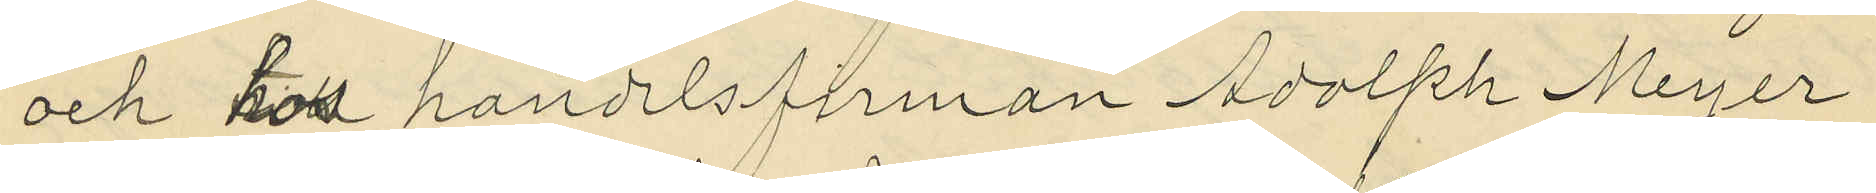och till handelsfirman Adolfh Meyer
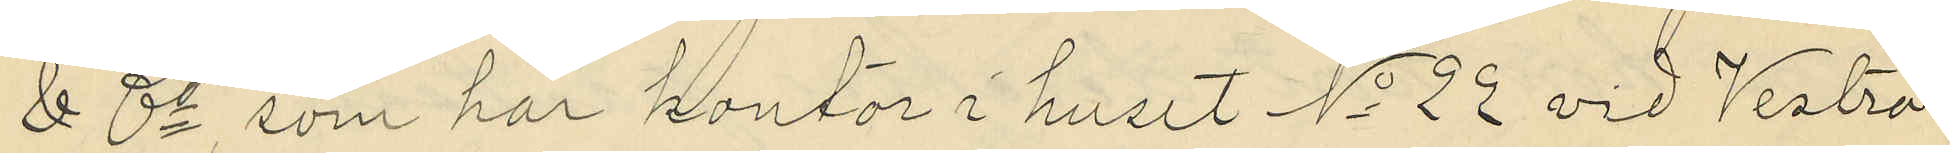& Co, som har kontor i huset No 22 vid Vestra
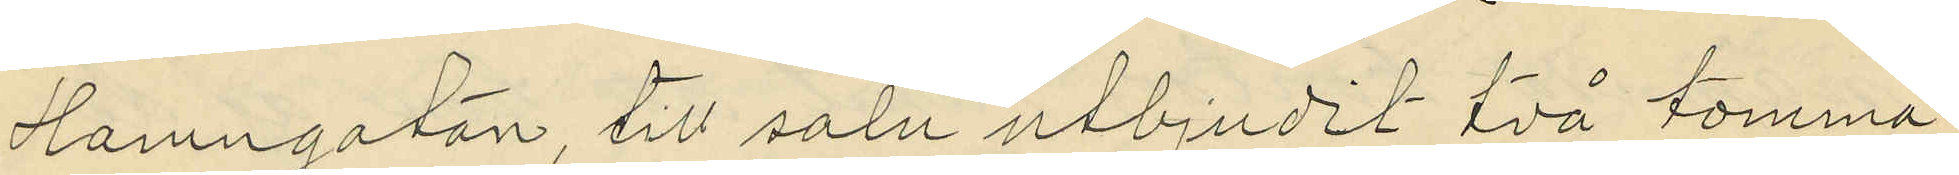Hamngatan, till salu utbjudit två tomma
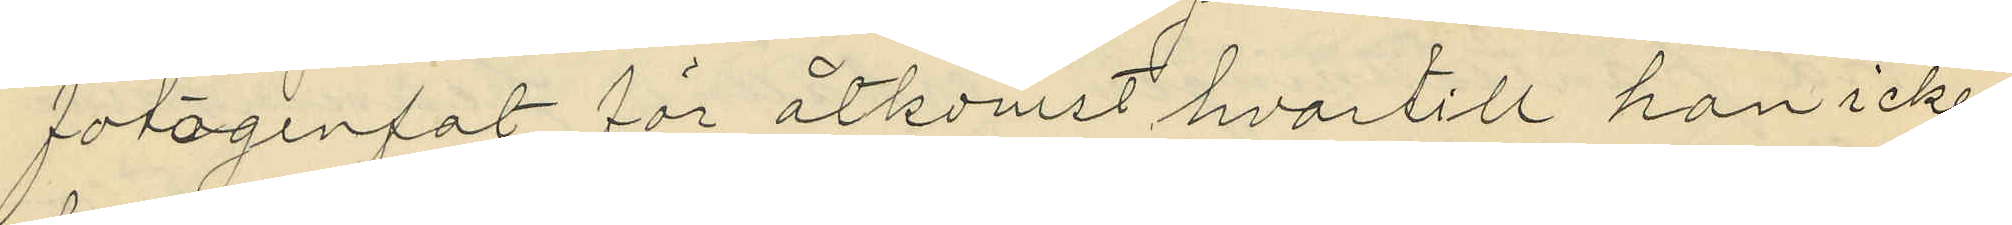fotogenfat, för åtkomst hvartill han icke
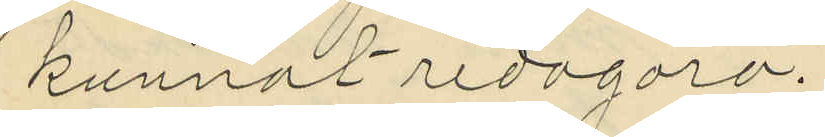kunnat redogöra.
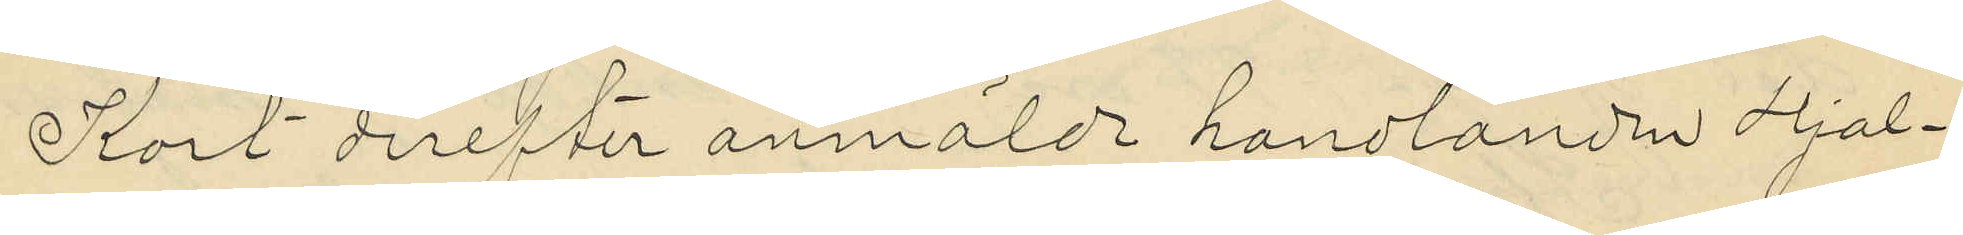Kort derefter anmälde handlanden Hjal¬
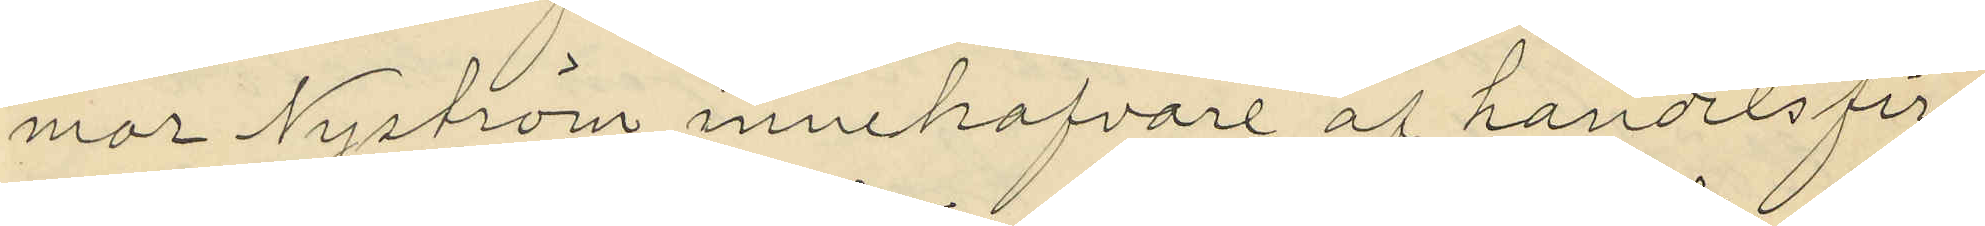mar Nyström, innehafvare af handelsfir¬
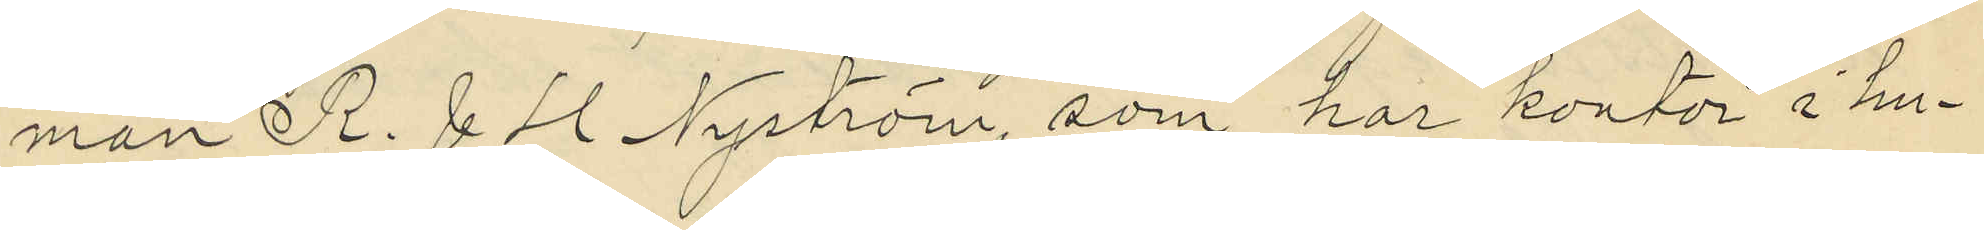man R & H Nyström, som har kontor i hu¬
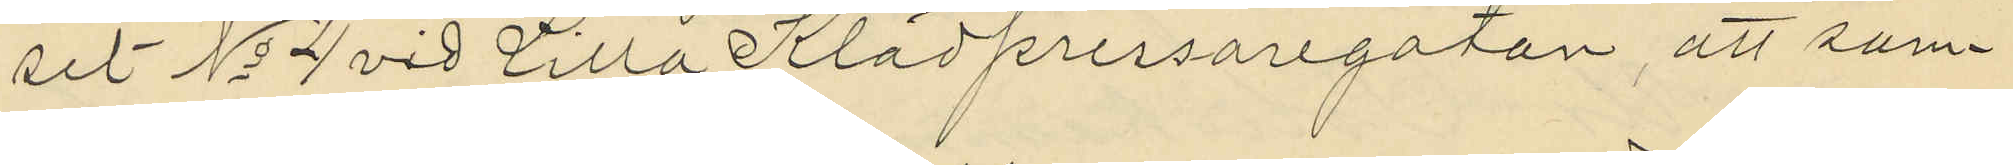set No 4 vid Lilla Klädpressaregatan, att sam¬
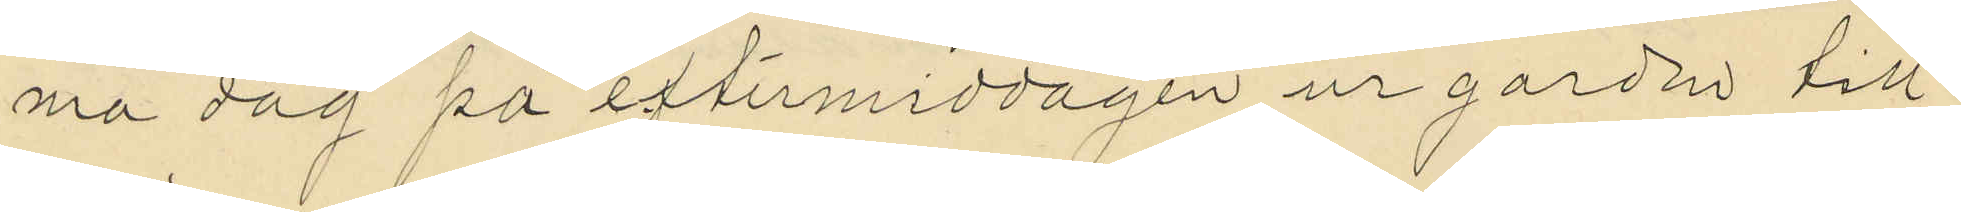ma dag på eftermiddagen ur garden till
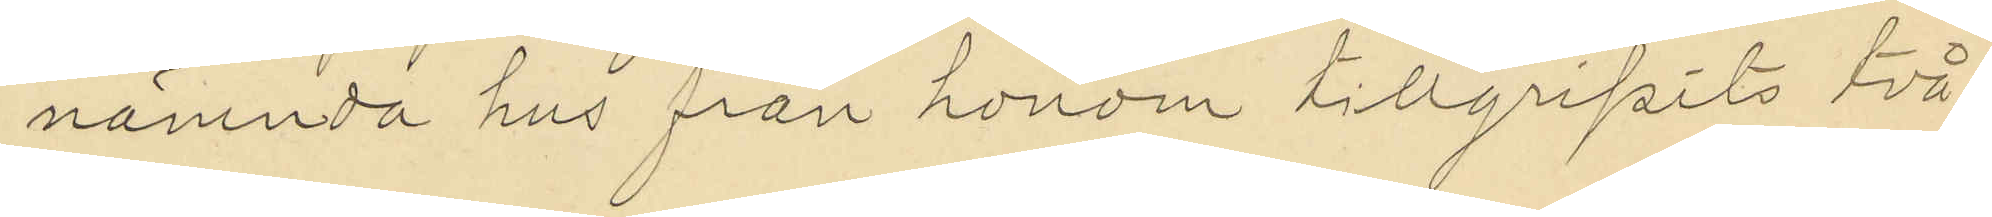nämnda hus från honom tillgripits två
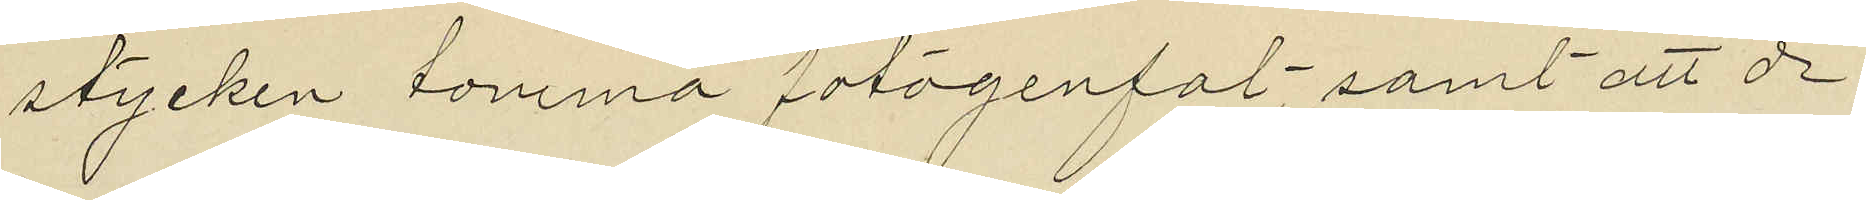stycken tomma fotogenfat, samt att de
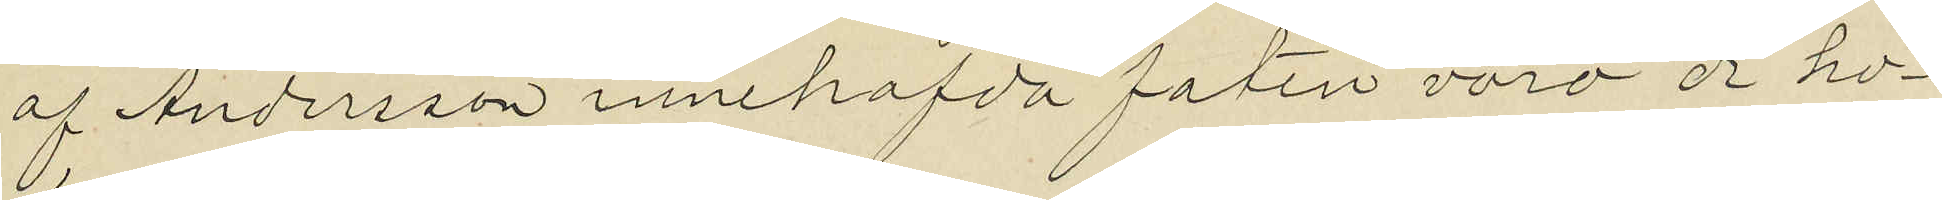af Andersson innehafda faten voro de ho¬
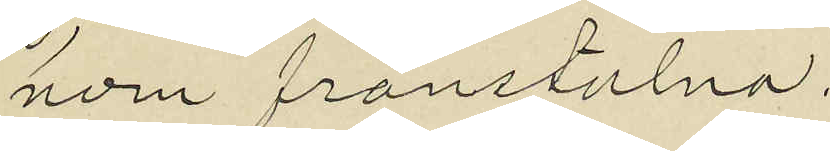nom frånstulna.
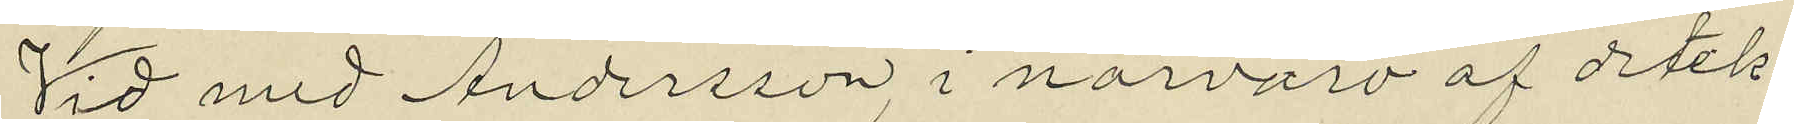Vid med Andersson, i närvaro af detek¬
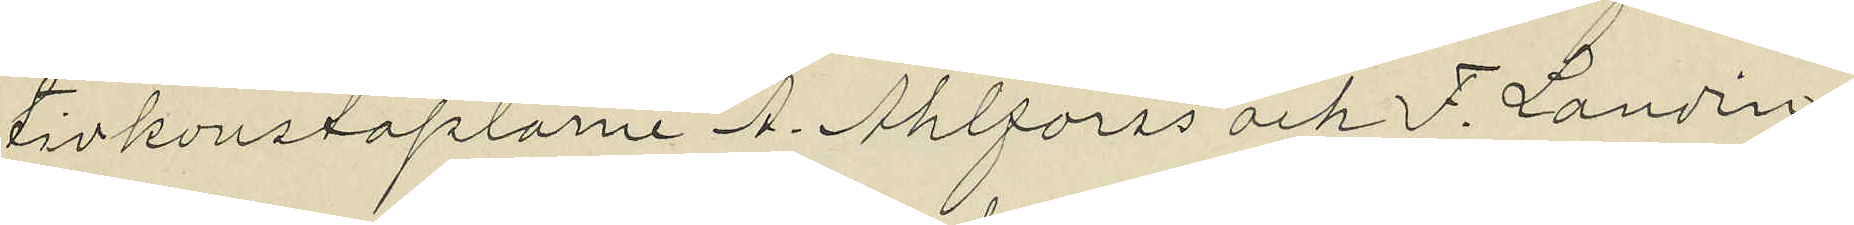tivkonstaplarne A. Ahlforss och F. Landin,
